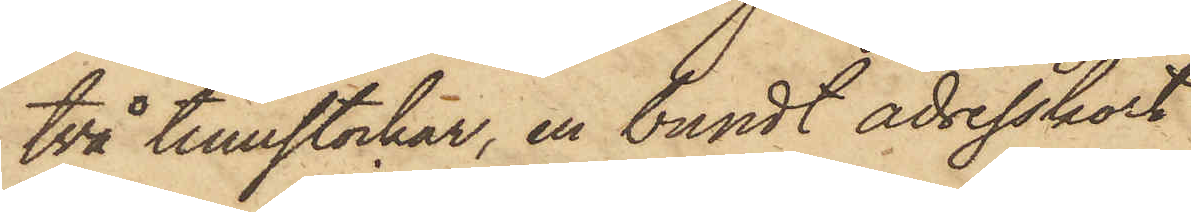två tumstockar, en bundt adresskort
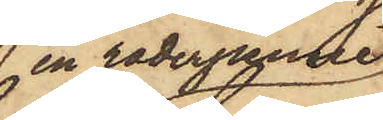en raderpenne
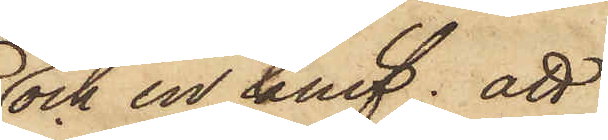och en knif; att
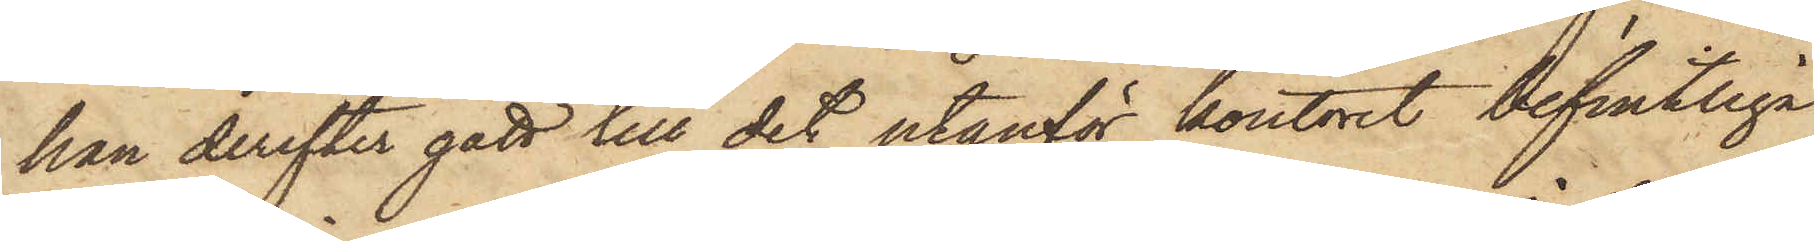han derefter gått till det utanför kontoret befintliga
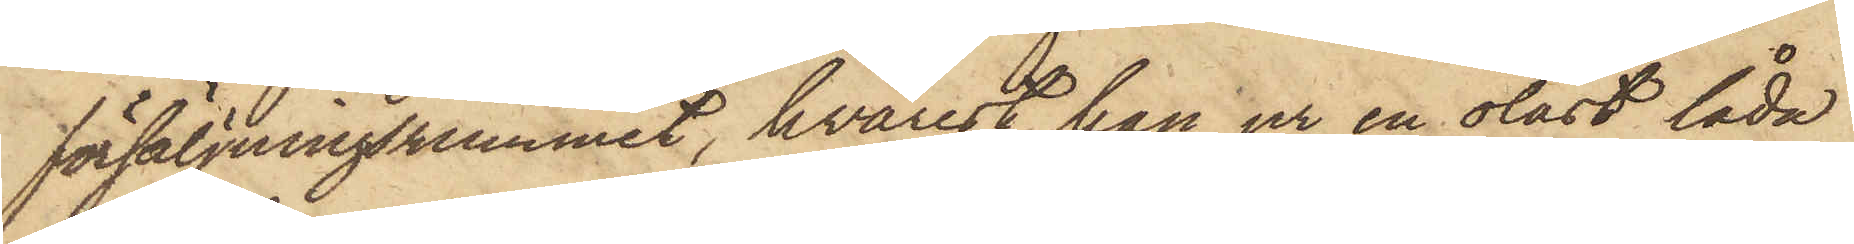försäljningsrummet, hvarest han ur en olåst låda
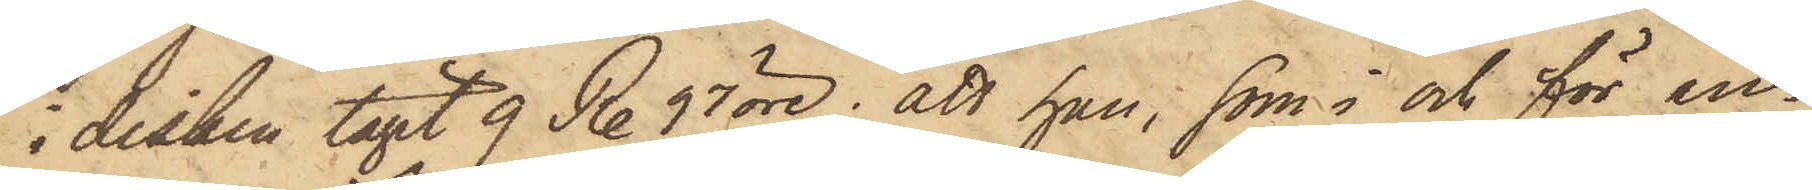 disken tagit 9 R. 97 öre; att han, som i och för in¬
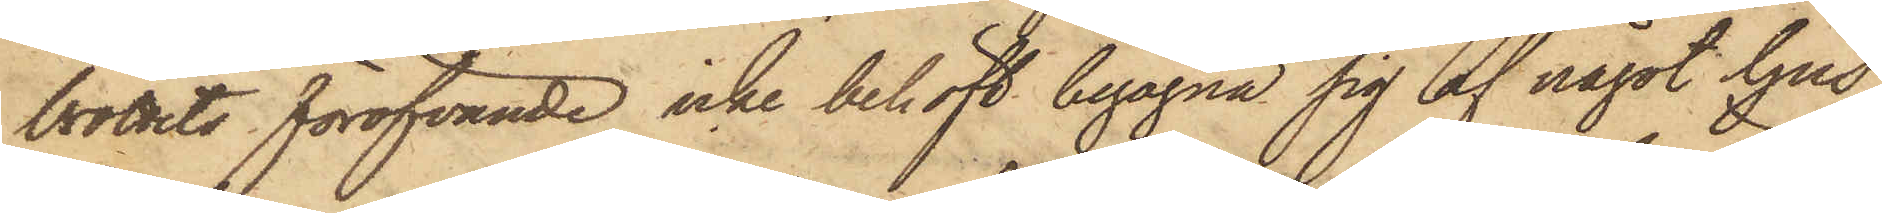brottets föröfvande icke behöft begagna sig af något ljus,
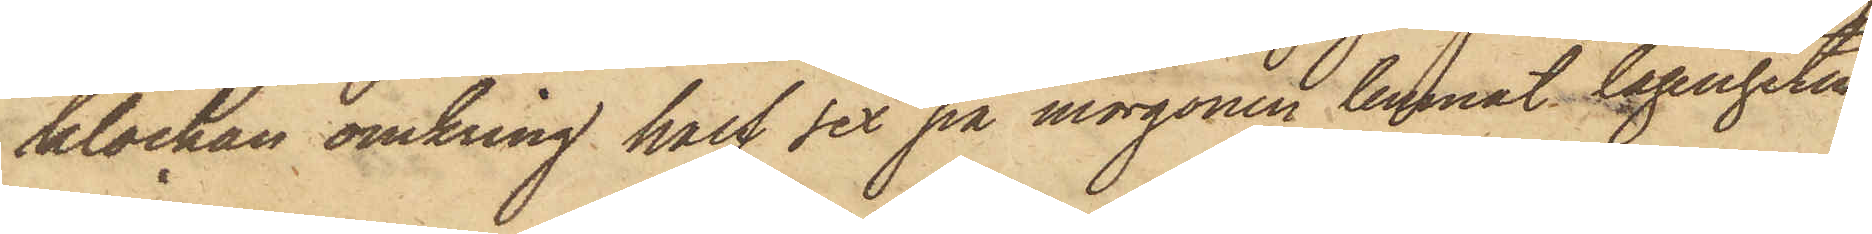klockan omkring half sex på morgonen lemnat lägenheten
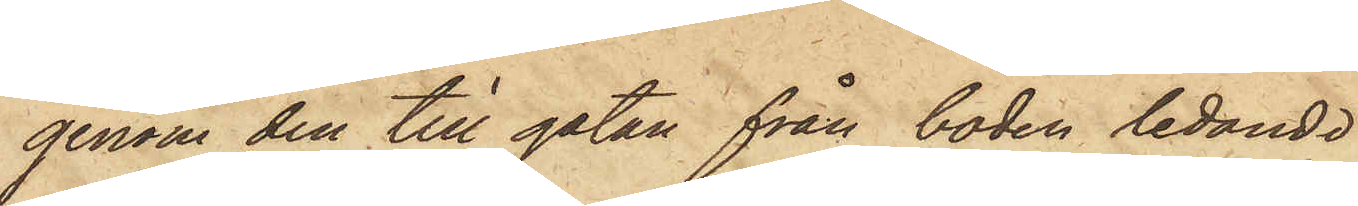genom den till gatan från boden ledande
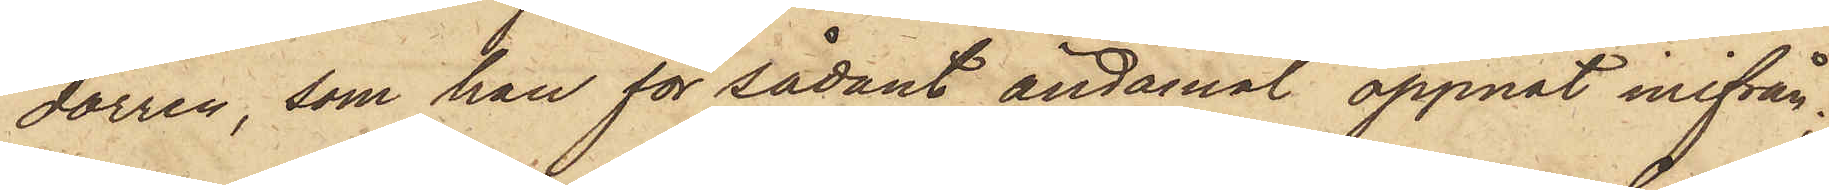dörren, som han för sådant ändamål öppnat inifrån;
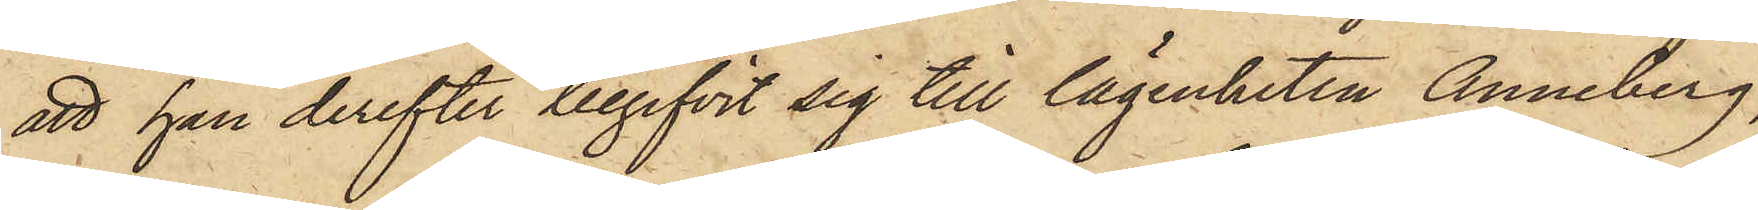att han derefter begifvit sig till lägenheten Anneberg,
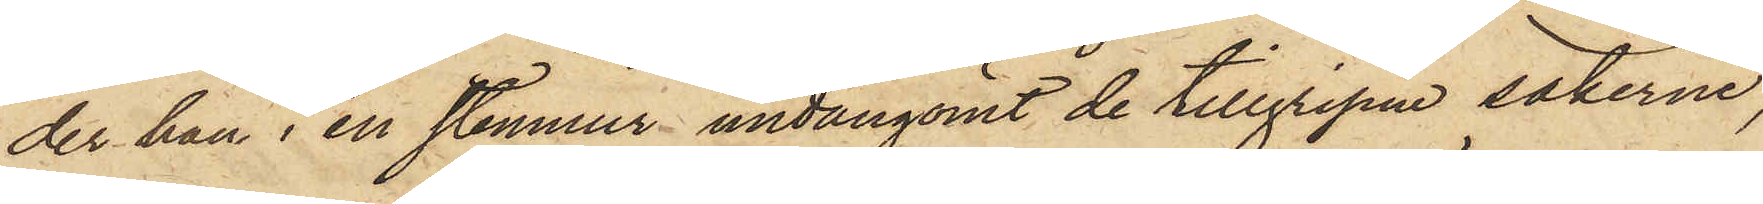der han i en stenmur undangömt de tillgripne sakerne,
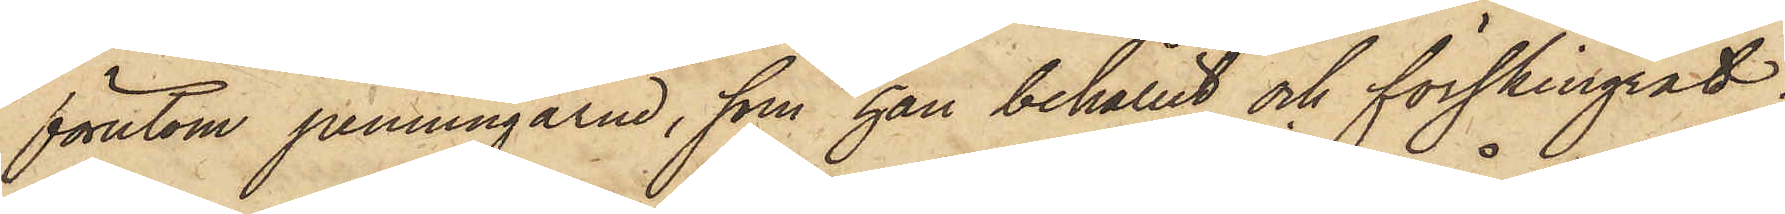förutom penningarne, som han behållit och förskingrat;
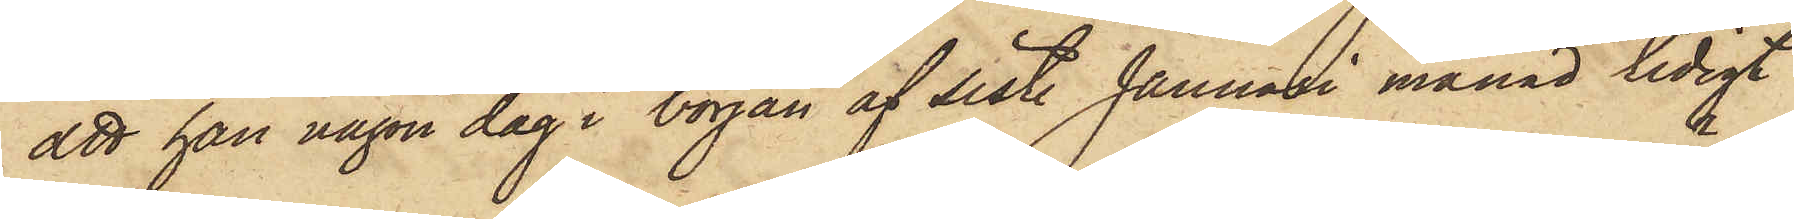att han någon dag i början af sist. Januari månad tidigt
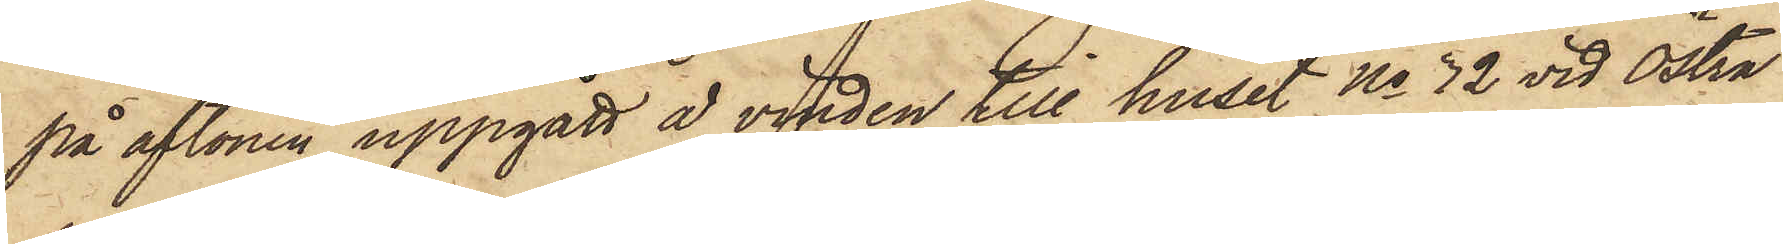på aftonen uppgått å vinden till huset No 32 vid Östra
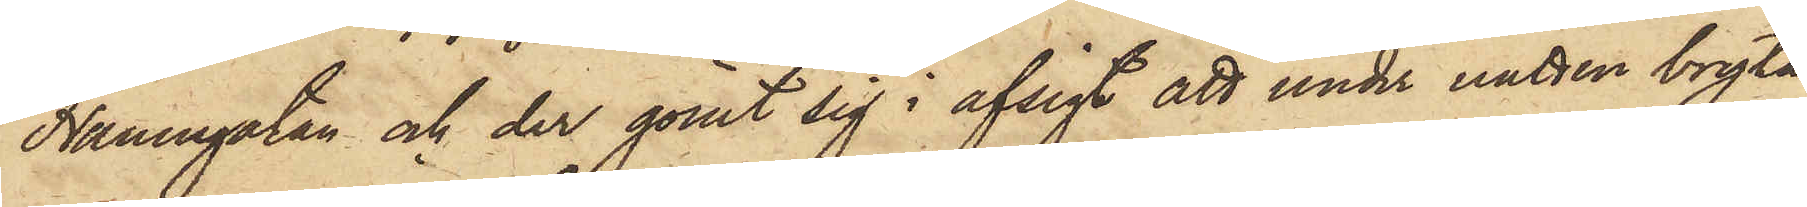Hamngatan och der gömt sig i afsigt att under natten bryta
